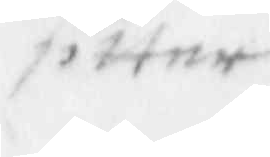sitter
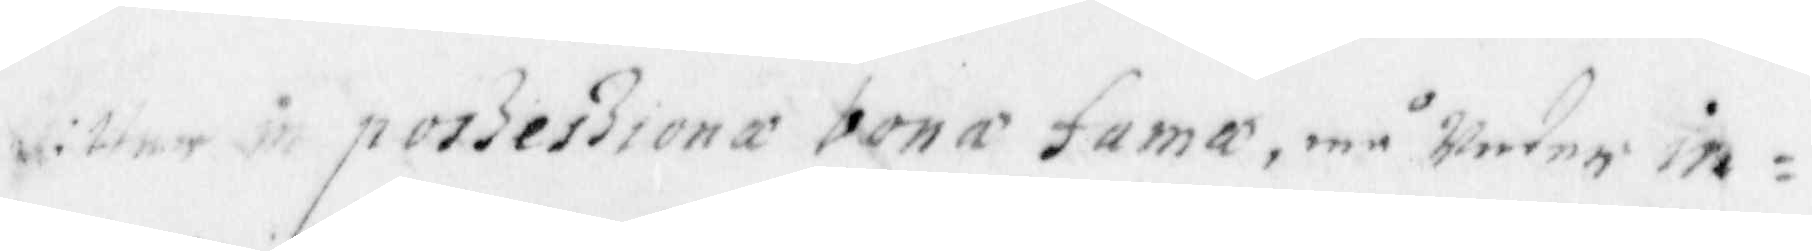sitter in poszeszionæ bona fama, må Warde in¬
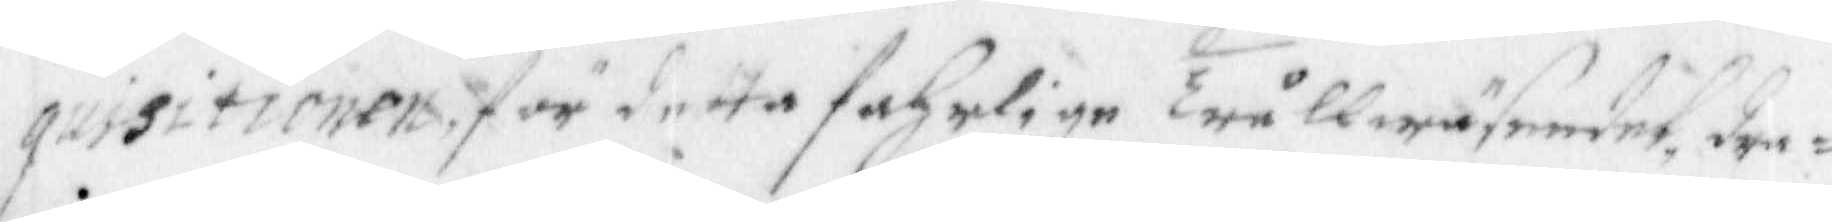quisitionen för detta fahrile trållwäswndet, der¬
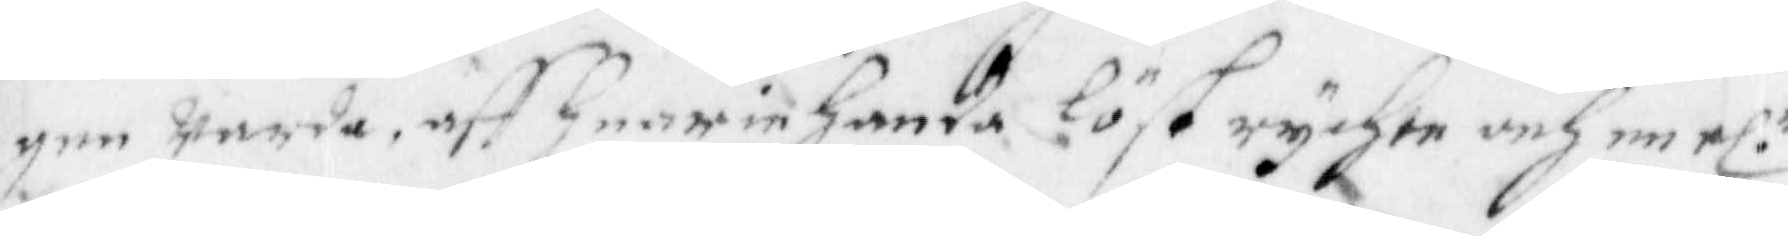gen Warda, aff Hearinhanda löst rychte och en rl. r
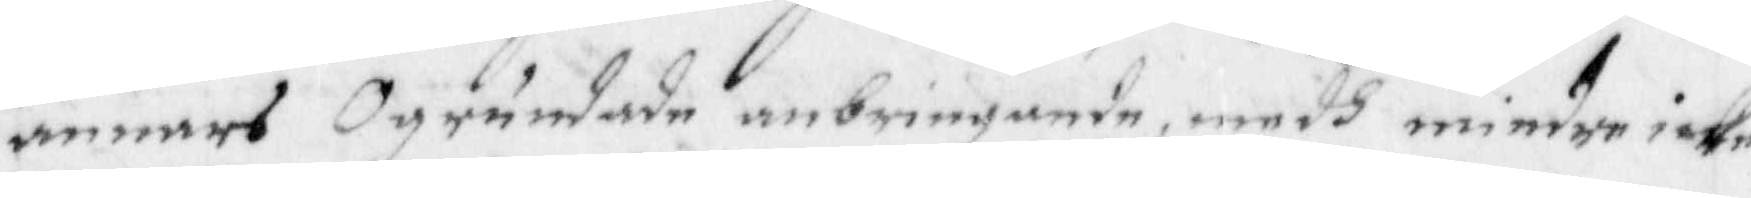annarsOgrundade anbringande, medh mindre icke
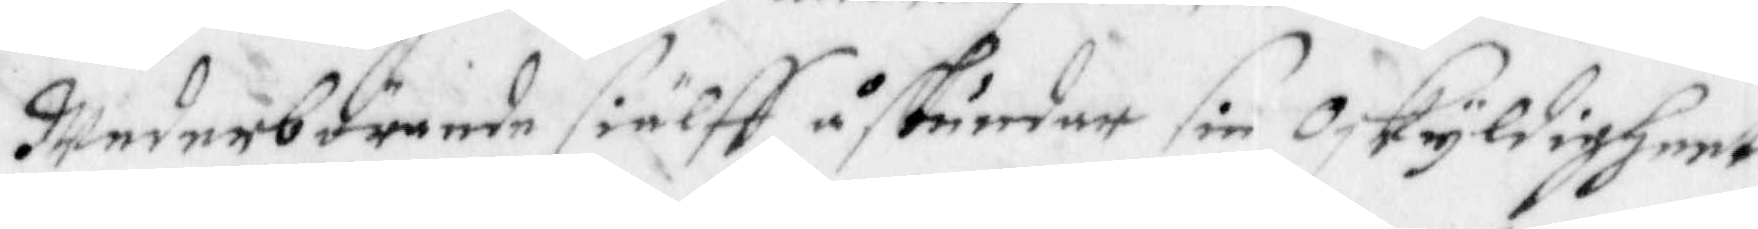wederbörande siälff åstundar sin Oskyldigheet
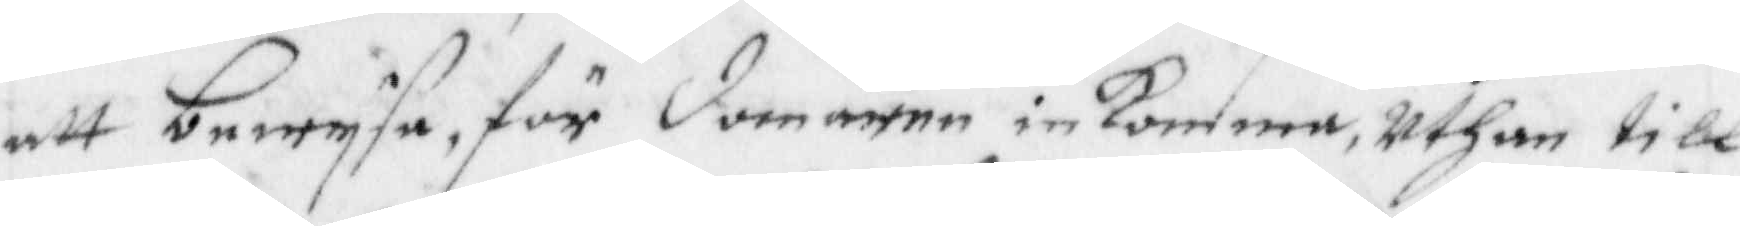att bewysa, för domaren in Komma, Uthan till 
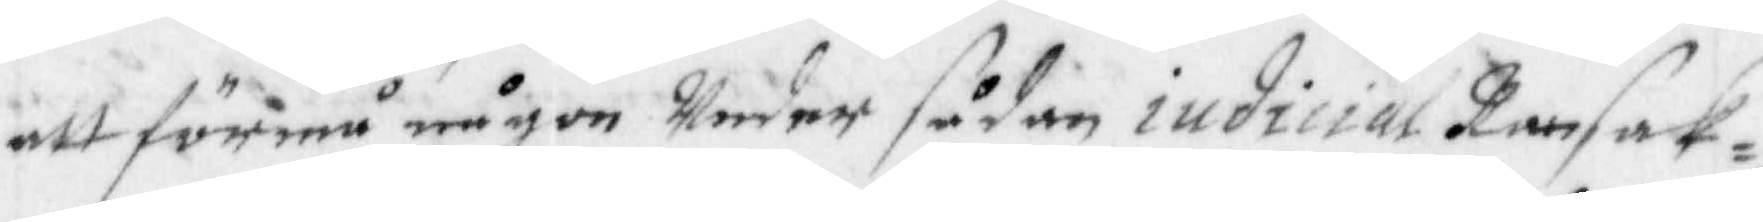att förmå någon Under sådan iudicial Ransak¬
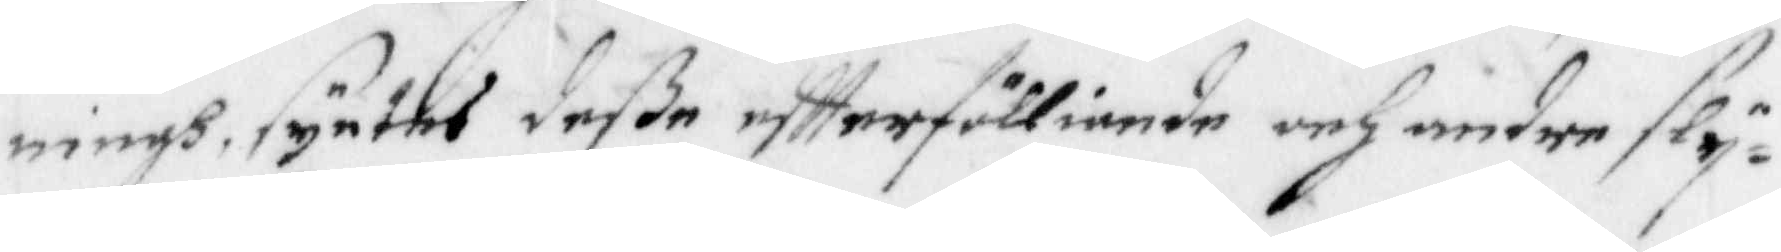ningh, syntes deße eftterfölliende och under sly¬
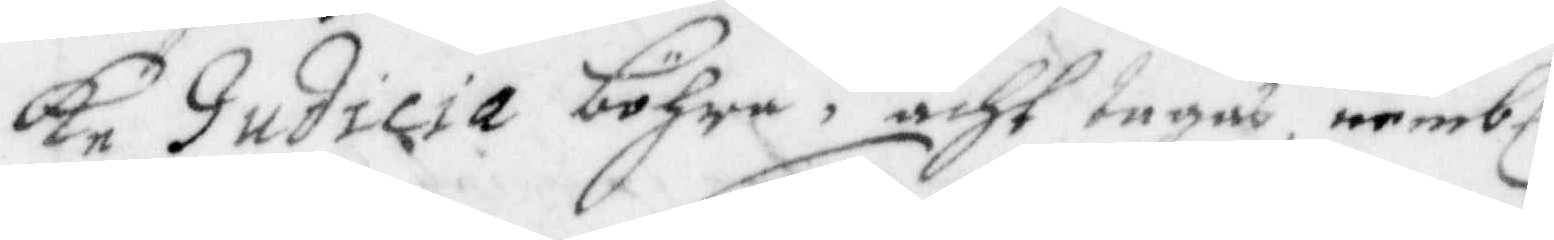ke judicia böhra i acht tagas, nembl.
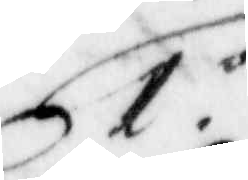1. o
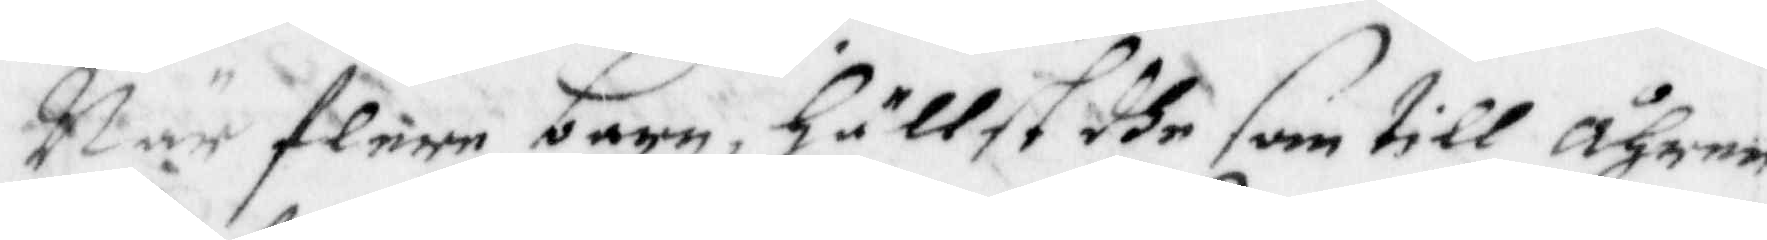När flere barn, hällst dhe som till åhren
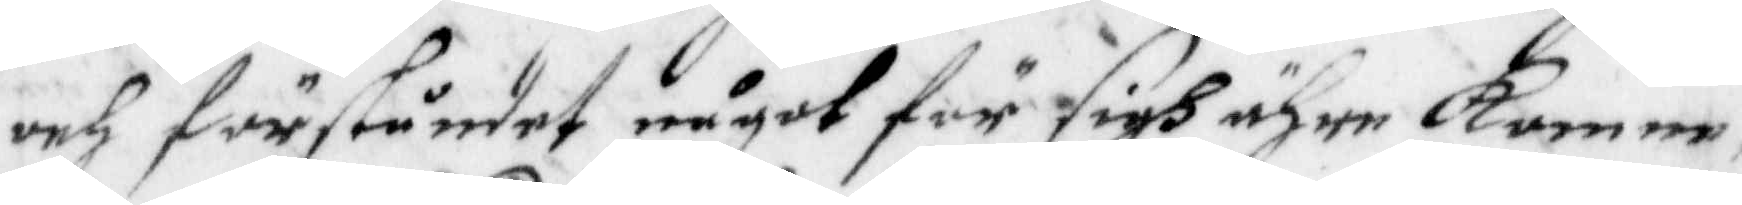och förståndet något för sigh ähre komne,
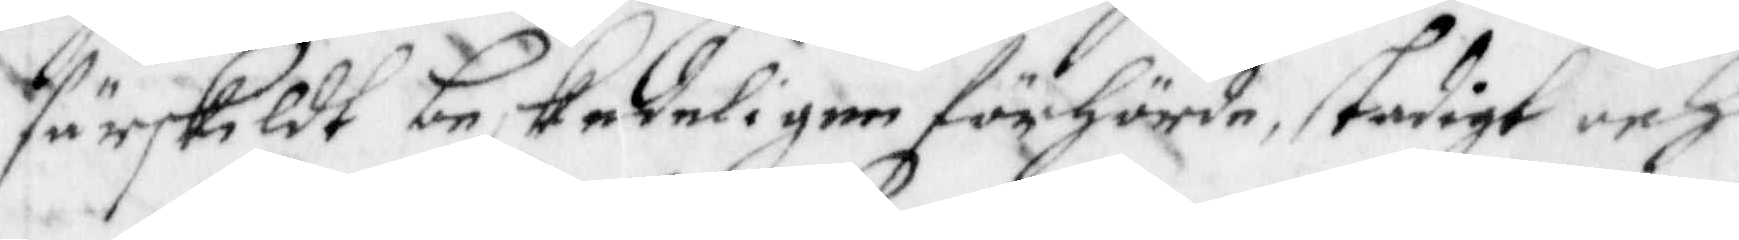särskildt beskedeligen förhörde, stadigt och
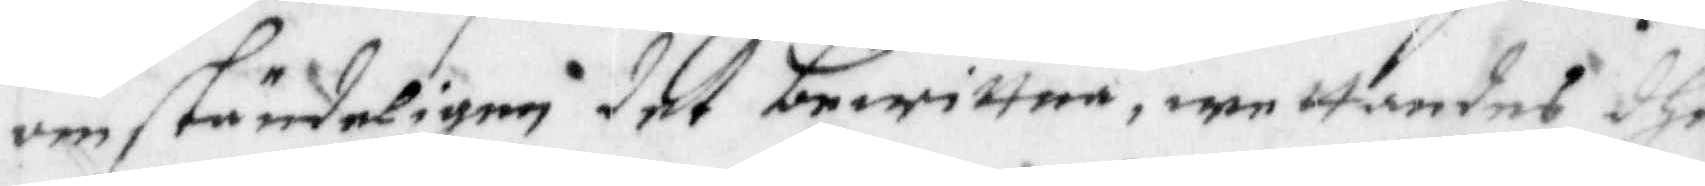omständeligen det bewittna, wettandes dhe
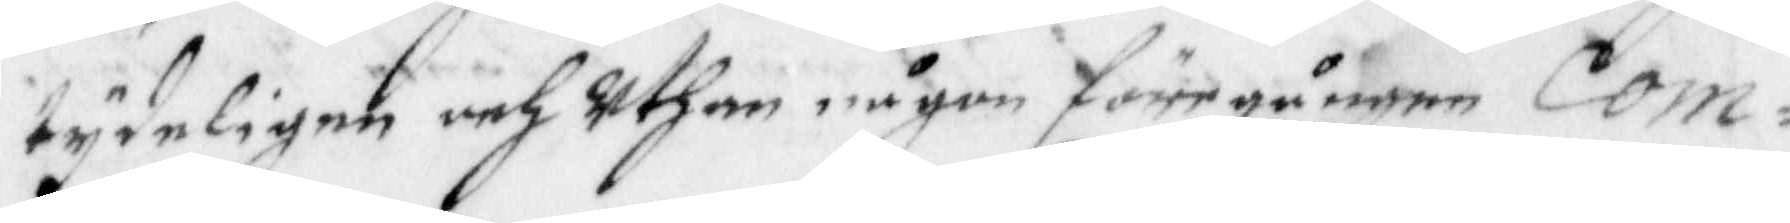tydeligen och uthan någon förrgången Com¬
